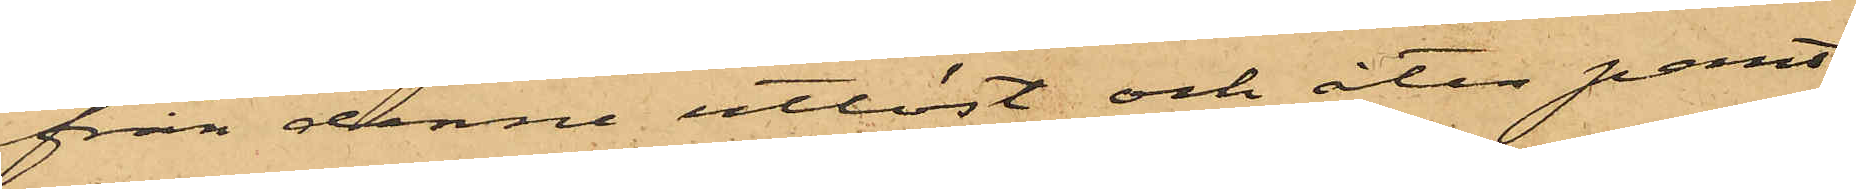från denne utlöst och åter pant¬
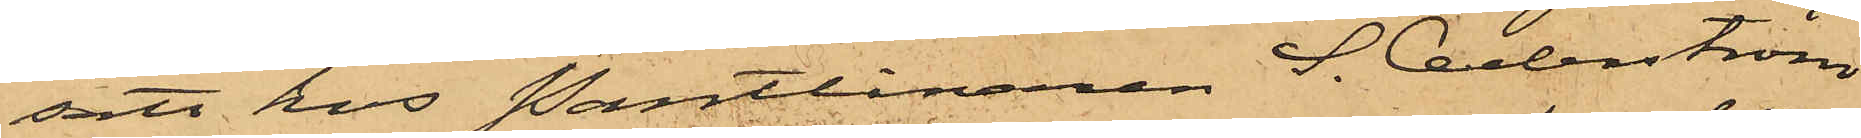satt hos Pantlånaren S. Cederström
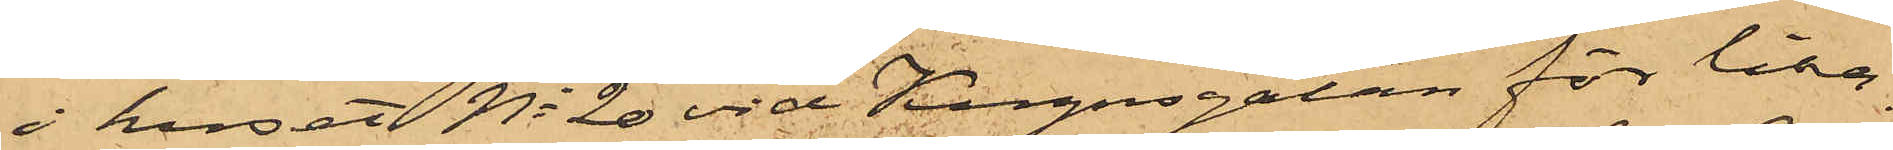i huset No 20 vid Kugnsgatan för lika¬
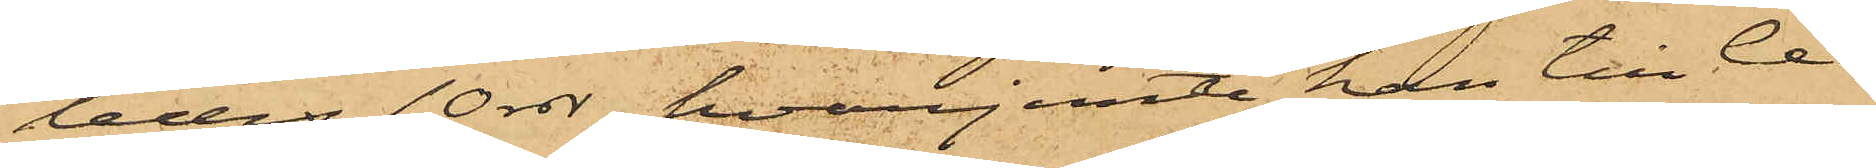ledes 10 rdr, hvarjemte han till Ce¬
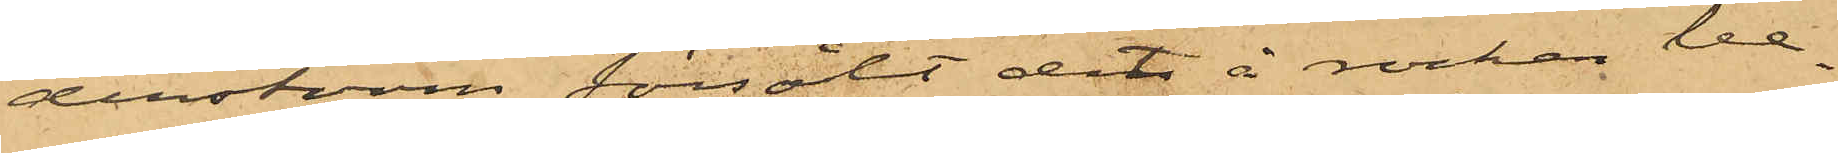derström försålt det å rocken be¬
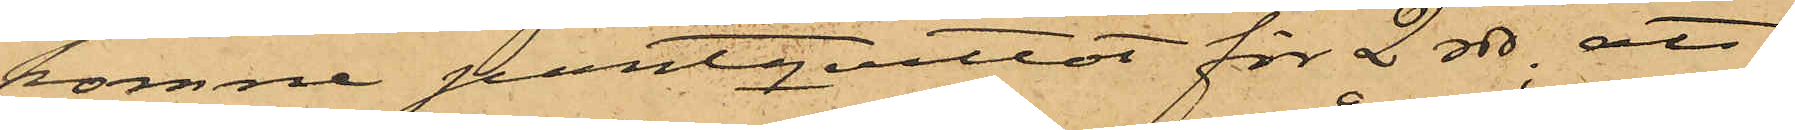komne pantqvittot för 2 rdr; att
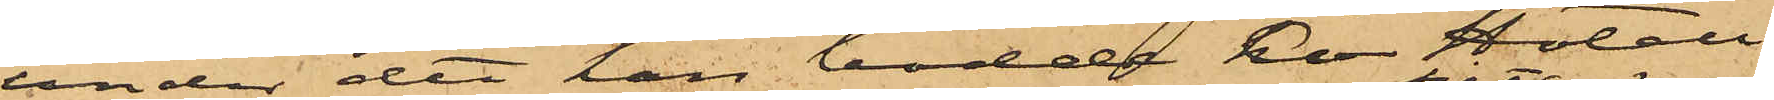under det han bodde å Hotell
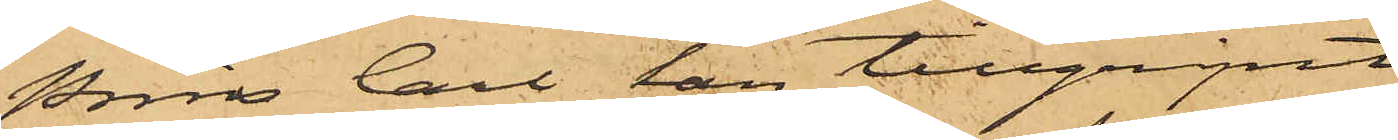Prins Carl han tillgripit
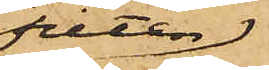filten
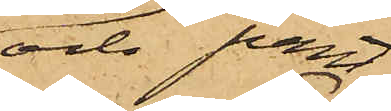och pant¬
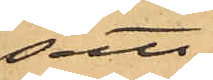satt
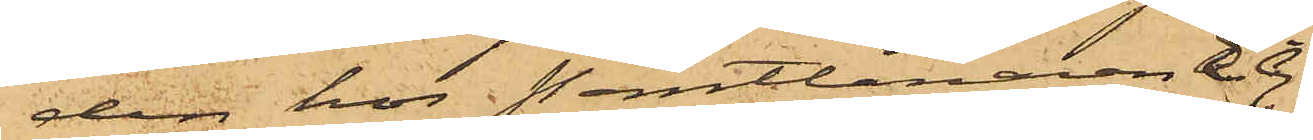den hos Pantlånaren E. G.
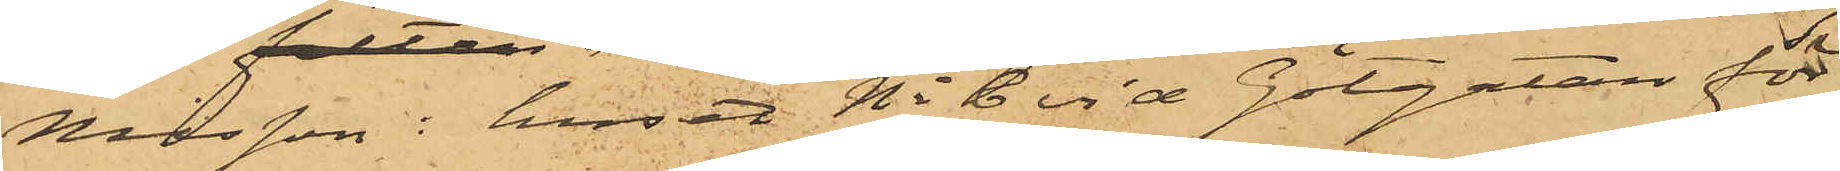Nilsson i huset No 6 vid Götgatan för
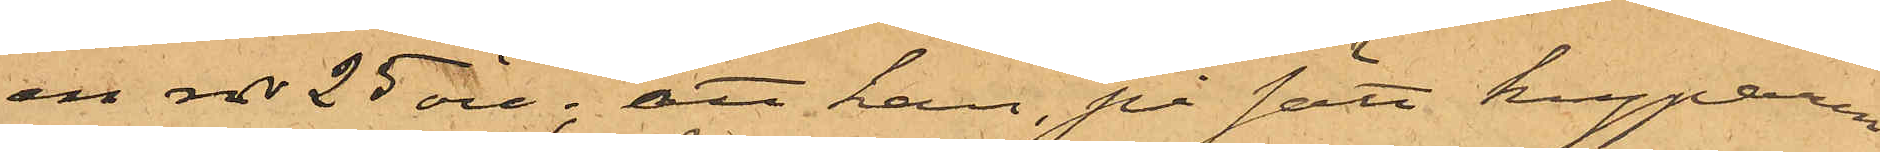en rdr 25 öre; att han, på sätt kyparen
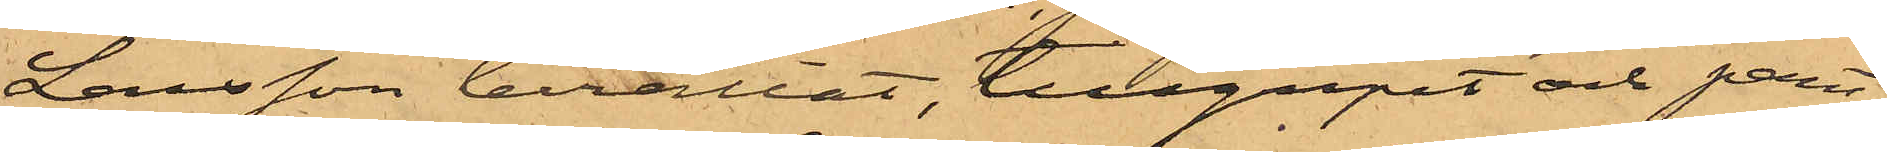Larsson berättat, tillgripit och pant¬
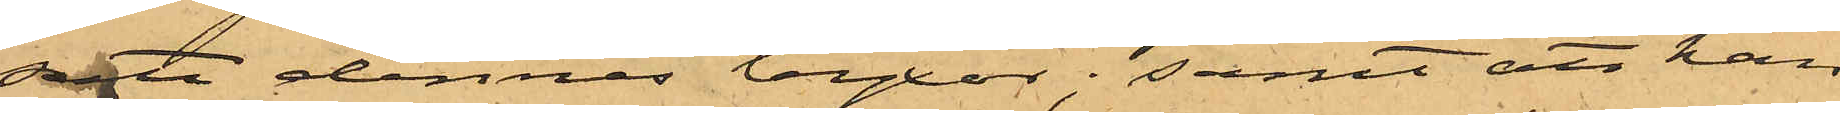satt dennes byxor; samt att han
